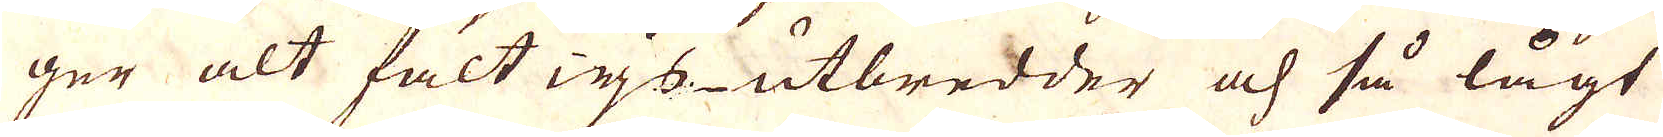ger alt falt wjs utbredder och så lågt
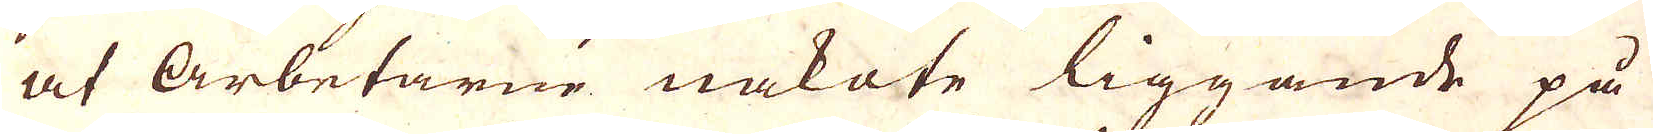at Arbetarne nakote liggande på
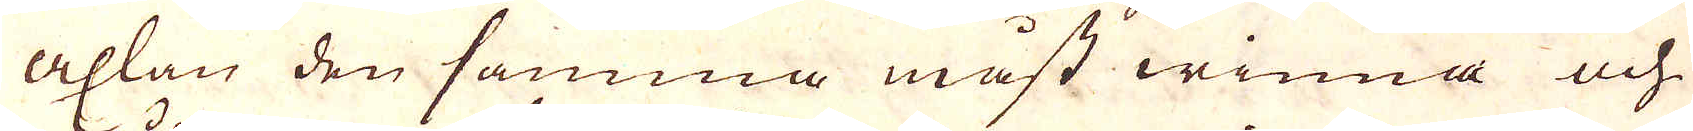axlan den samma måst winna och
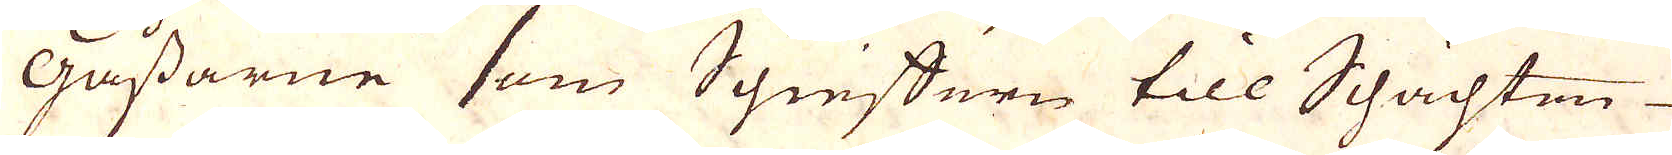Gåssarne som Schieffern till Schachten
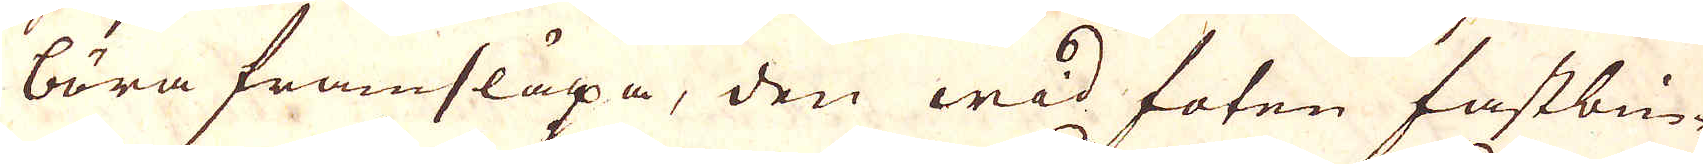bära framsläpa, den wid foten fastbin-
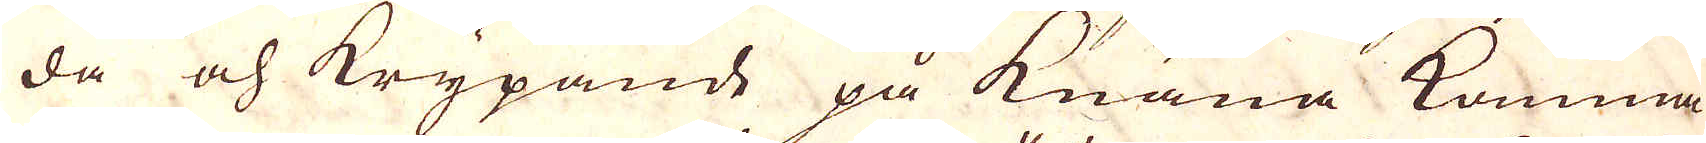da och krypande på knäna komma
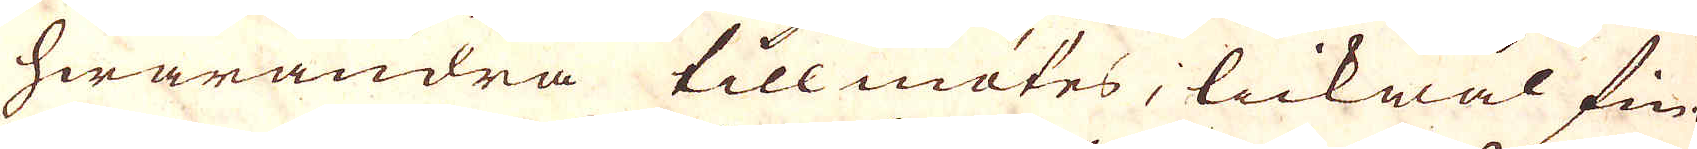hwarandra tillmötes, lickwäl fin-
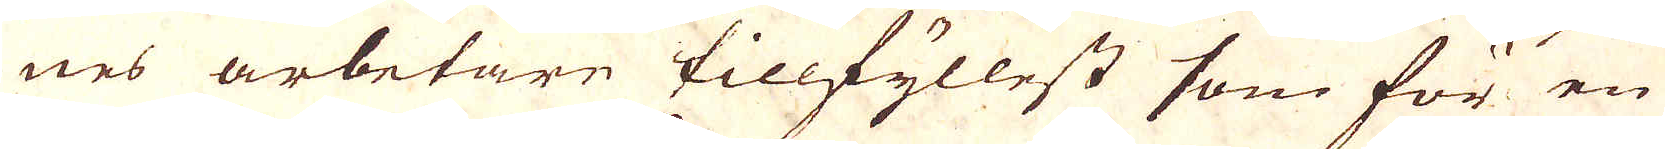nes arbetare tillfyllest som för en
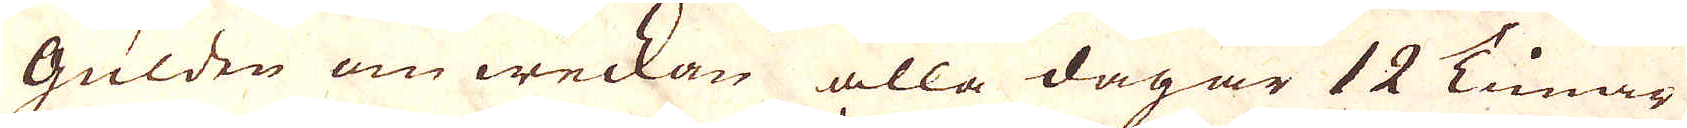Gulden om weckan alla dagar 12 Timar
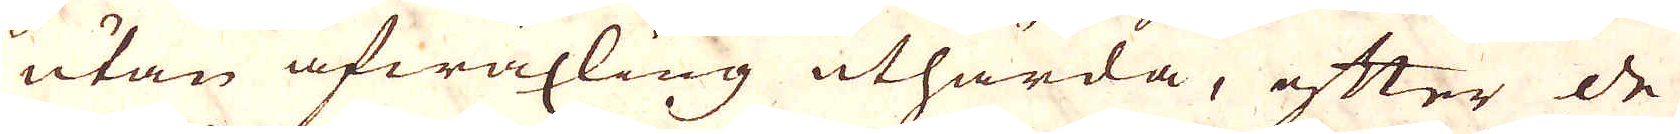utan afwäxling uthärda, efter de
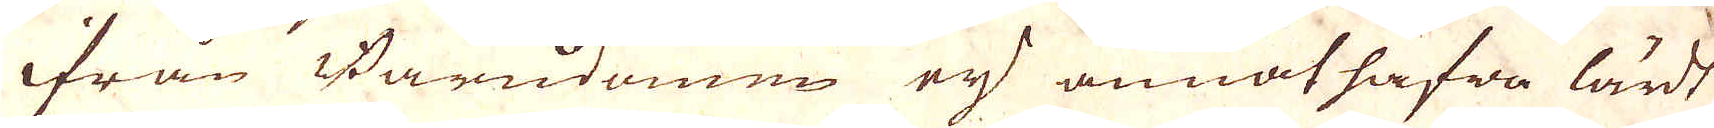ifrån Barndomen eij annat hafwa lärdt
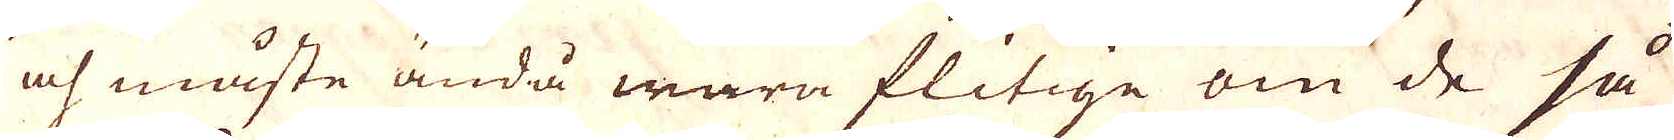och måste ändå wara flitige om de så
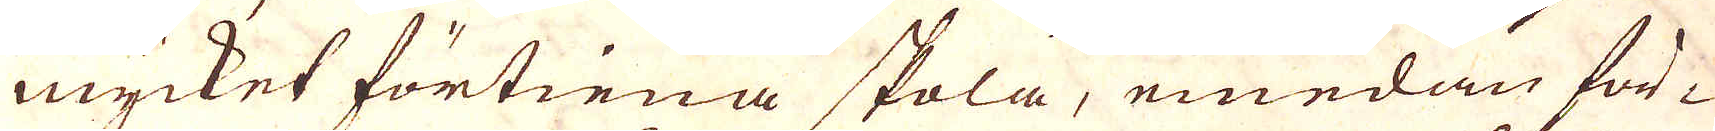mycket förtiena skola, emedan för-
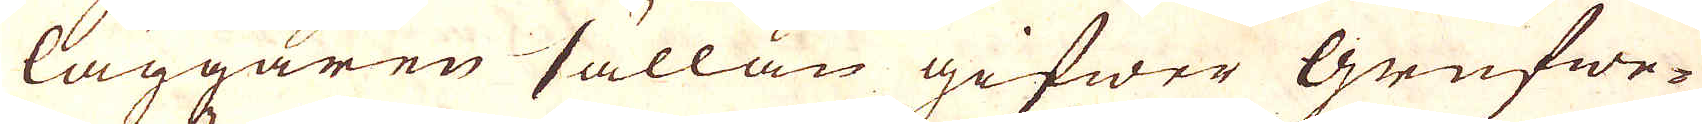läggaren sällan gifwer grufwe-
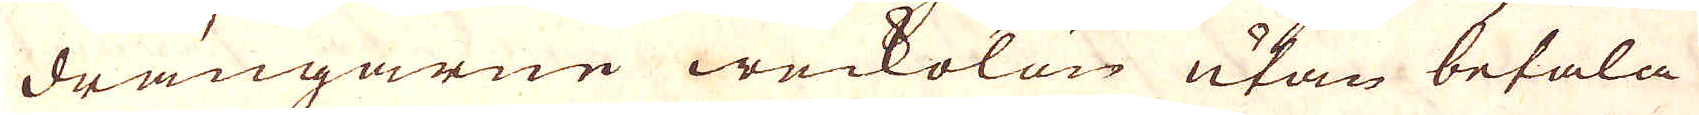drängarne weckolön utan betala
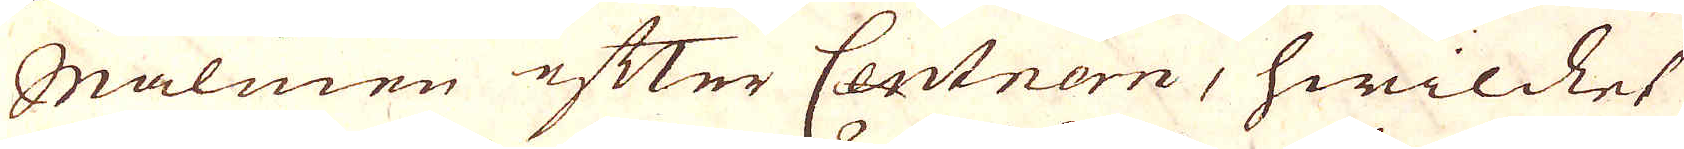Malmen efter Centnern, hwillket
